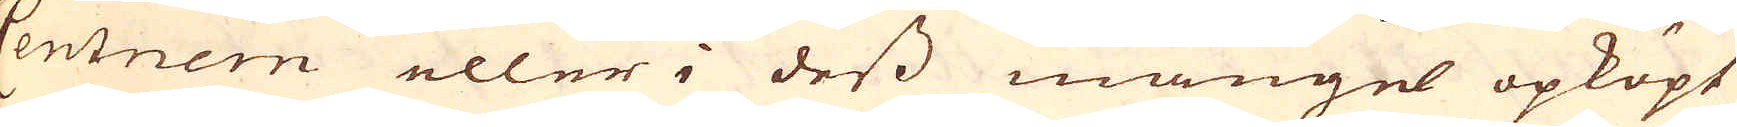Centnern eller i dess mangel opköpt
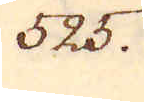325.
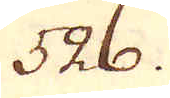526.
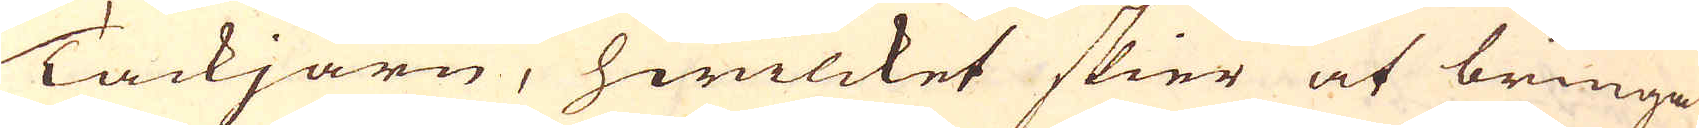Tackjärn, hwilcket skier at bringa
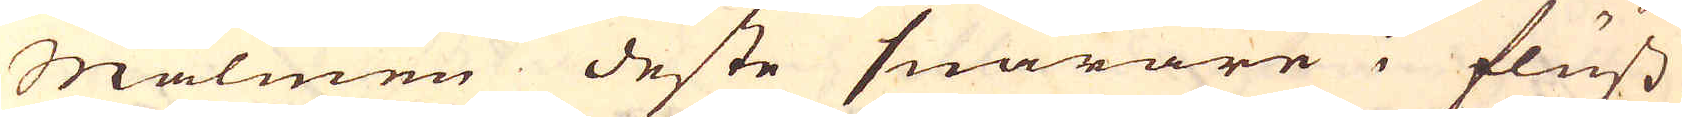Malmen deste snarare i fluss
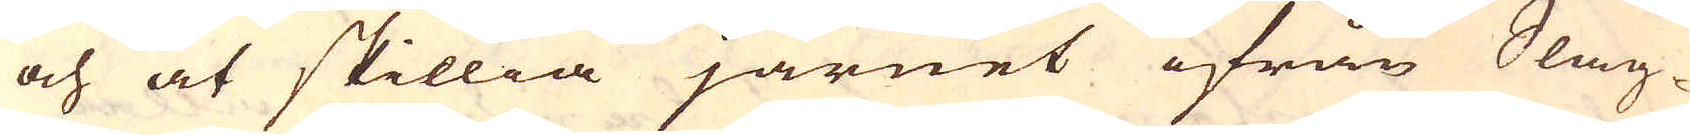och at skillia järnet ifrån Slag-
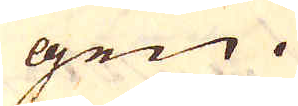gen.
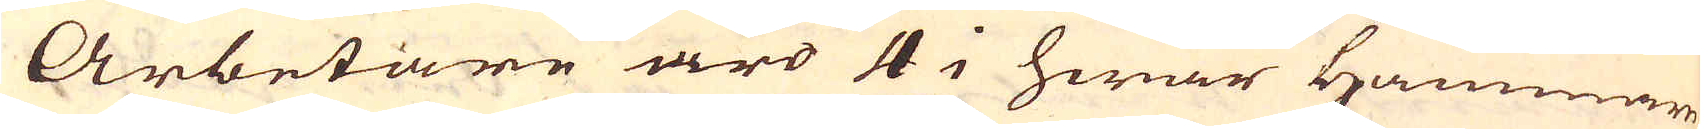Arbetare äro 4 i hwar Hammare
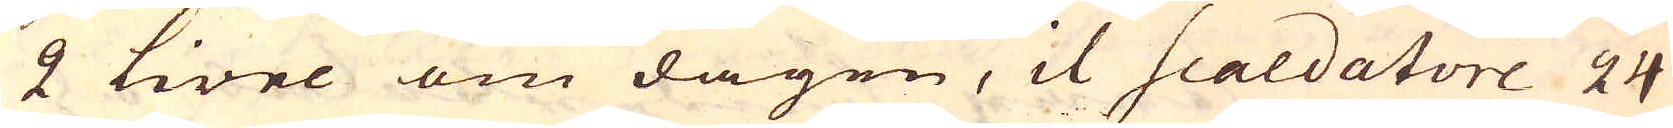2 livre om dagen, il Scaldatore 24
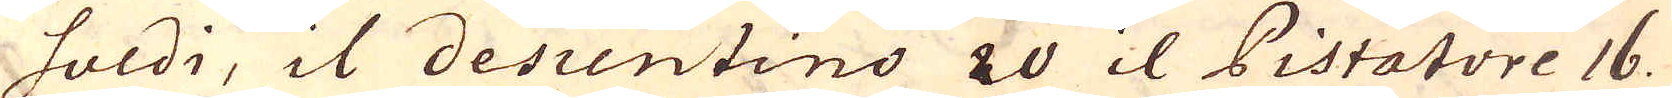soldi, il desientino 20 il Pistatore 16.
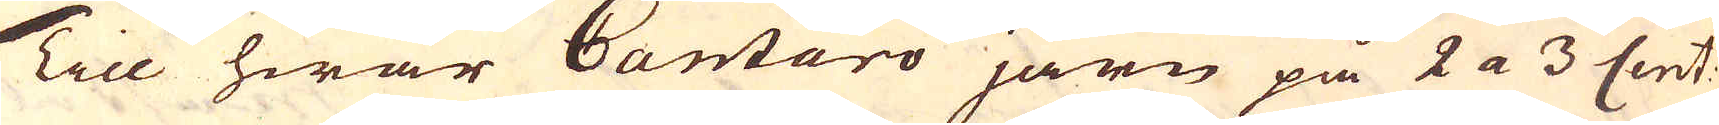Till hwar Cantaro järn på 2 a 3 Cent:
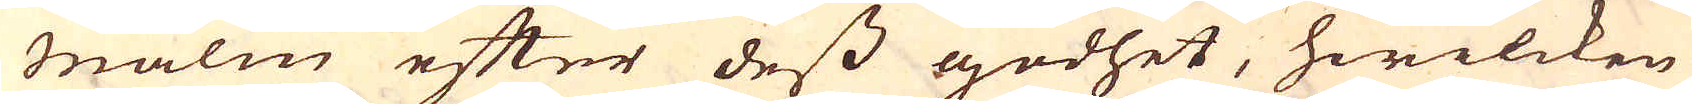malm efter dess godhet, hwilcken
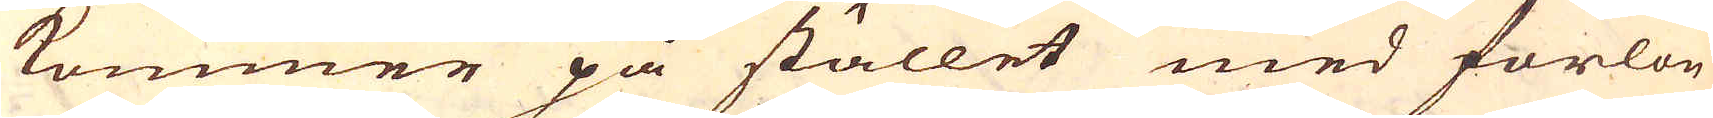kommer på stället med forlön
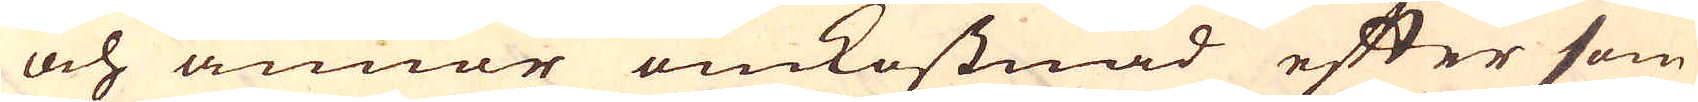och annor omkostnad efter som
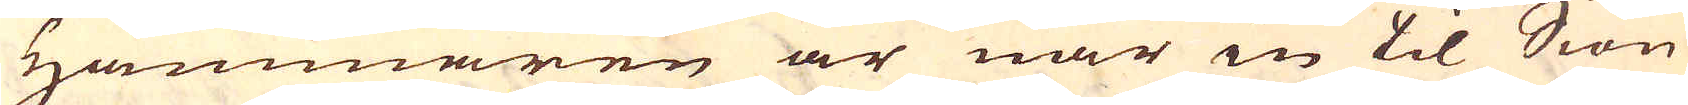Hammaren är när in til Siön
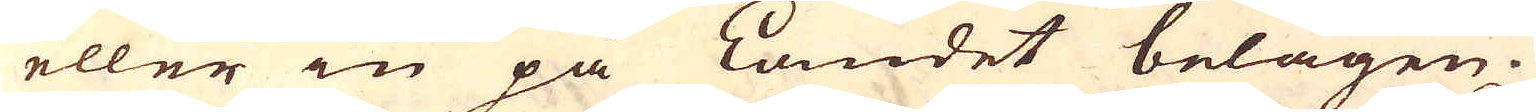eller in på Landet belägen.
